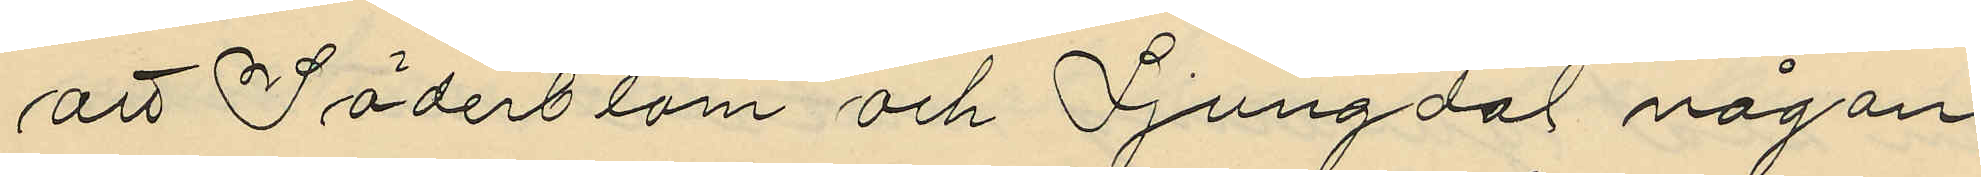att Söderblom och Ljungdal någon
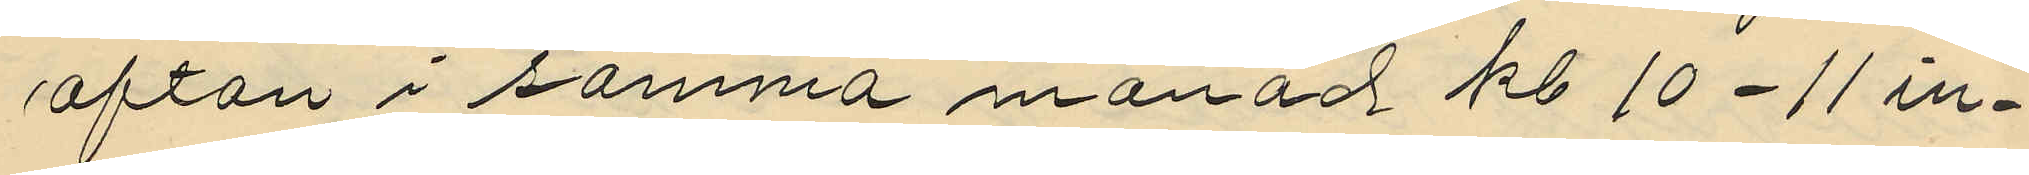afton i samma månad kl 10-11 in¬
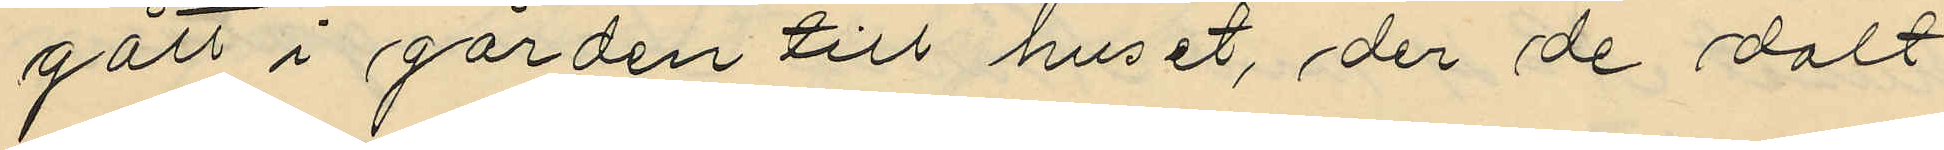gått i gården till huset, der de dolt
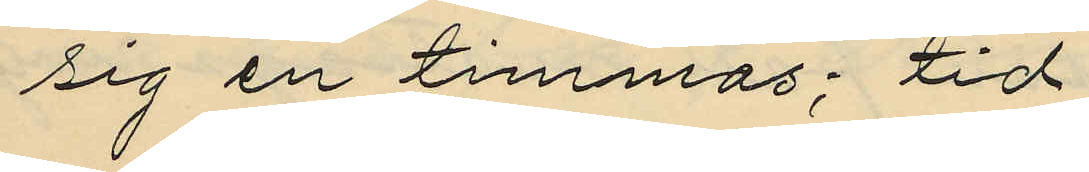sig en timmas; tid
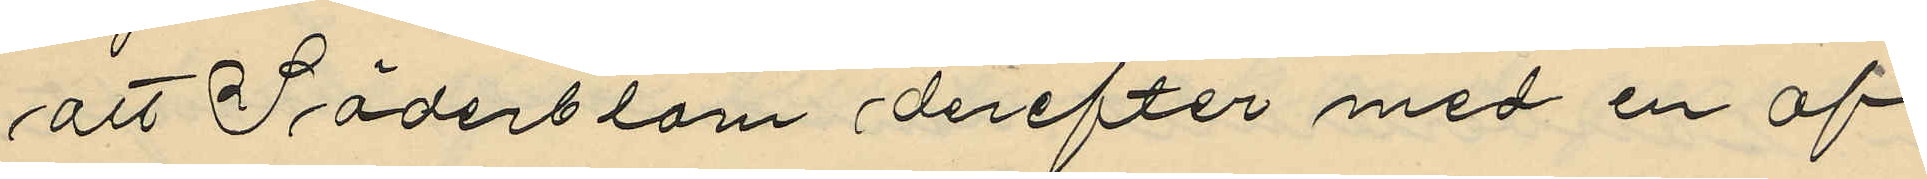att Söderblom derefter med en af
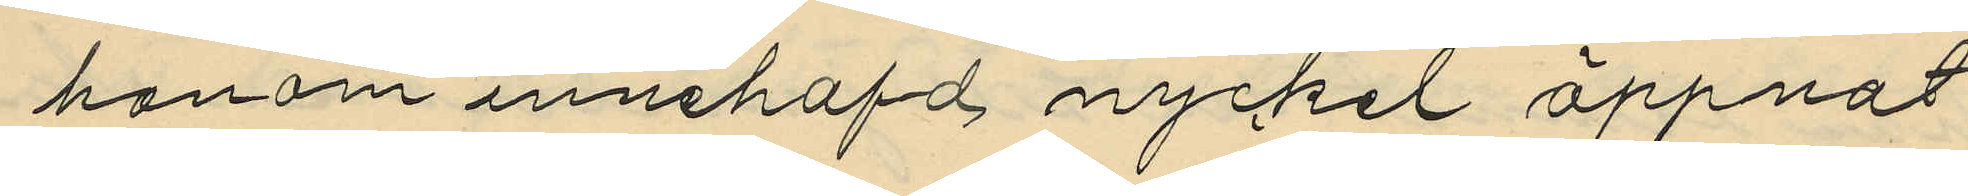honom innehafd nyckel öppnat
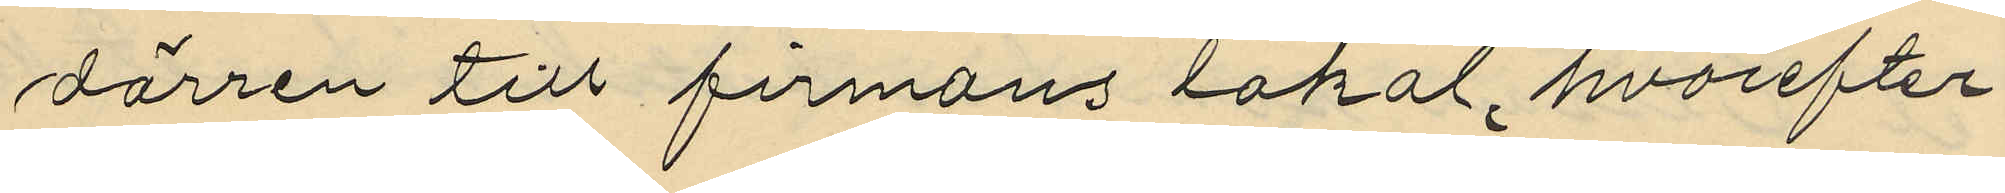dörren till firmans lokal, hvarefter
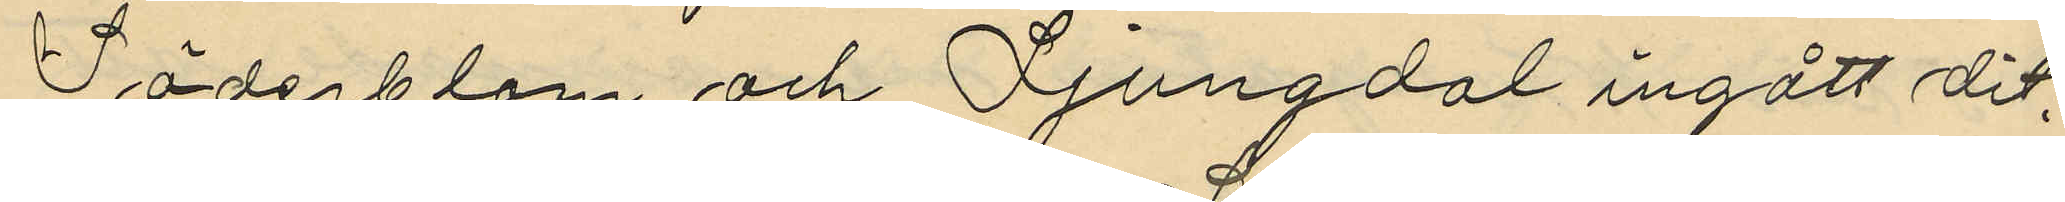Söderblom och Ljungdal ingått dit;
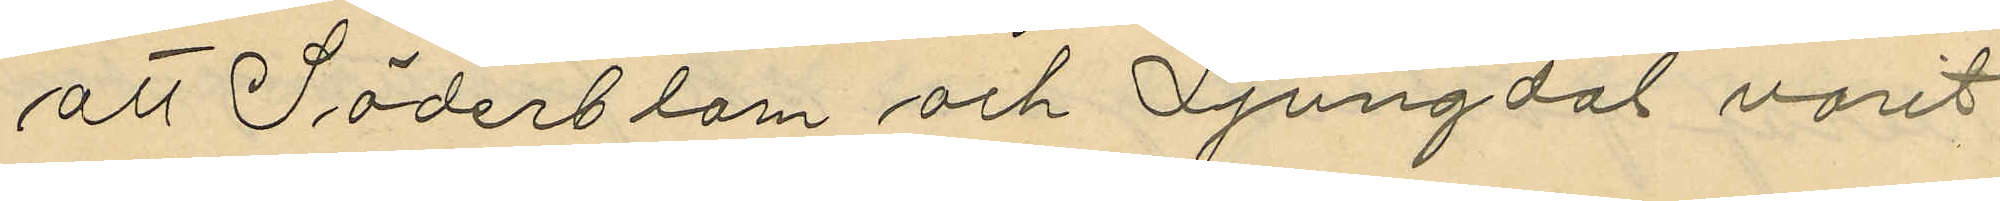att Söderblom och Ljungdal varit
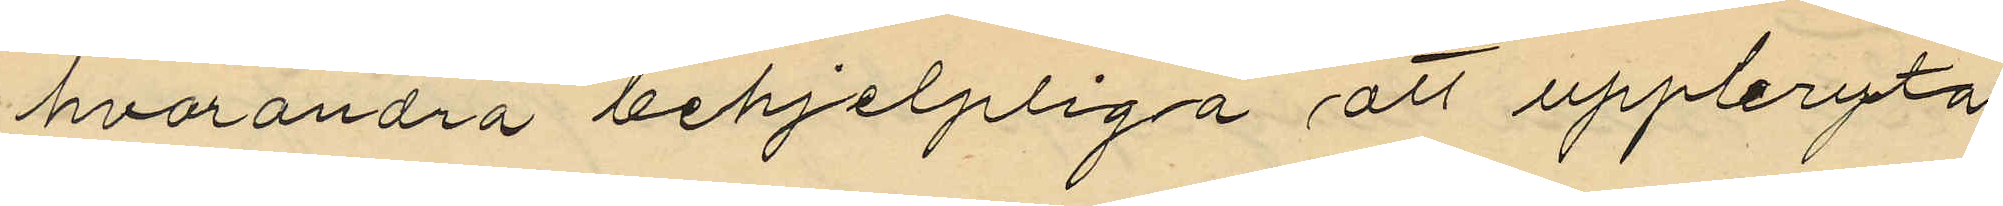hvarandra behjelpliga att uppbryta
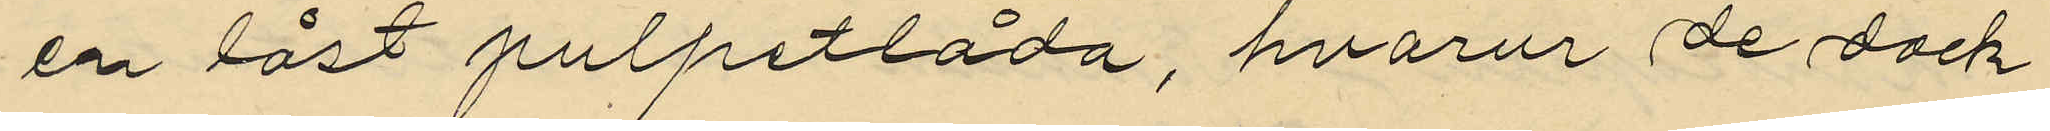en låst pulpetlåda, hvarur de dock
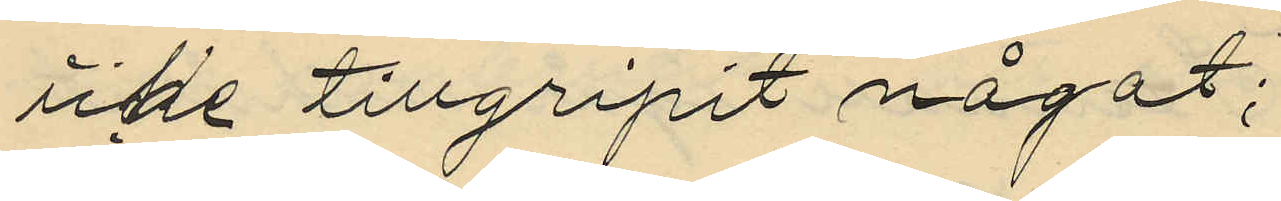icke tillgripit något;
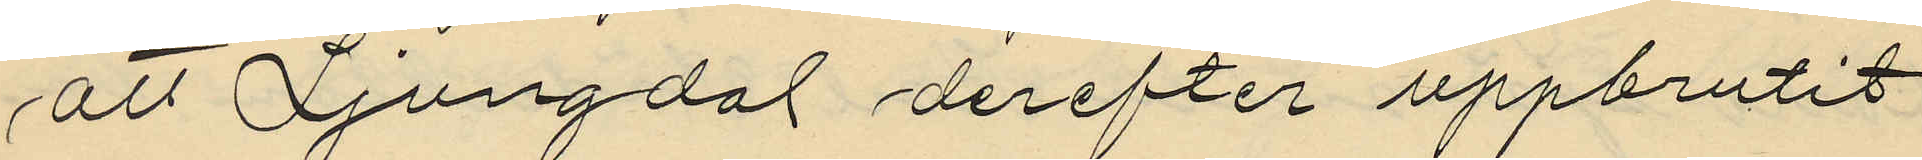att Ljungdal derefter uppbrutit
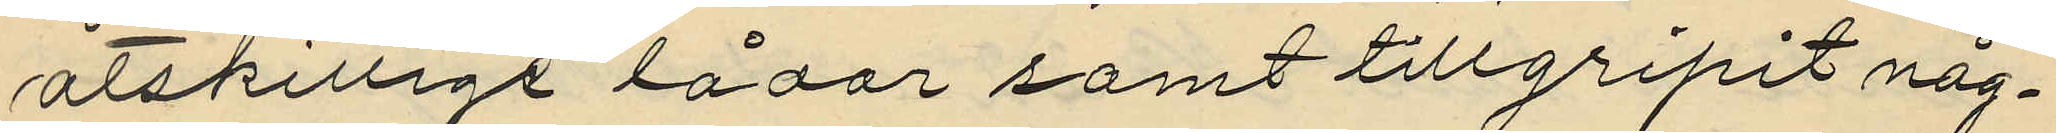åtskilligs lådor samt tillgripit någ¬
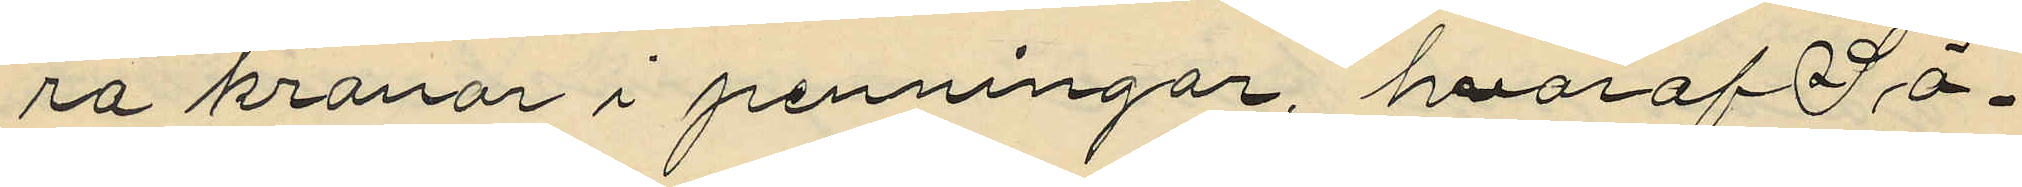ra kronor i penningar, hvaraf Sö¬
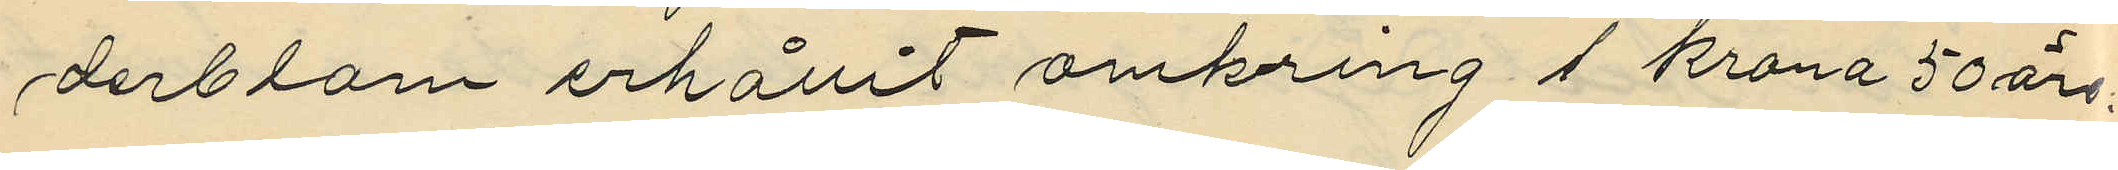derblom erhållit omkring 1 krona 50 öre.
